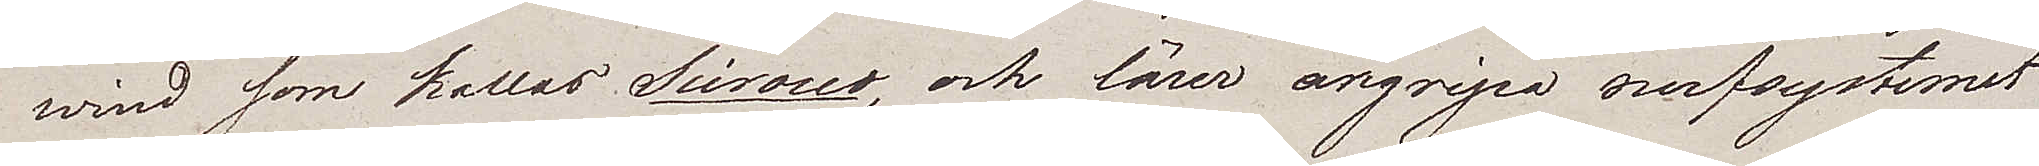wind som kallas Sirocco, och lärer angripa nerfsystemet
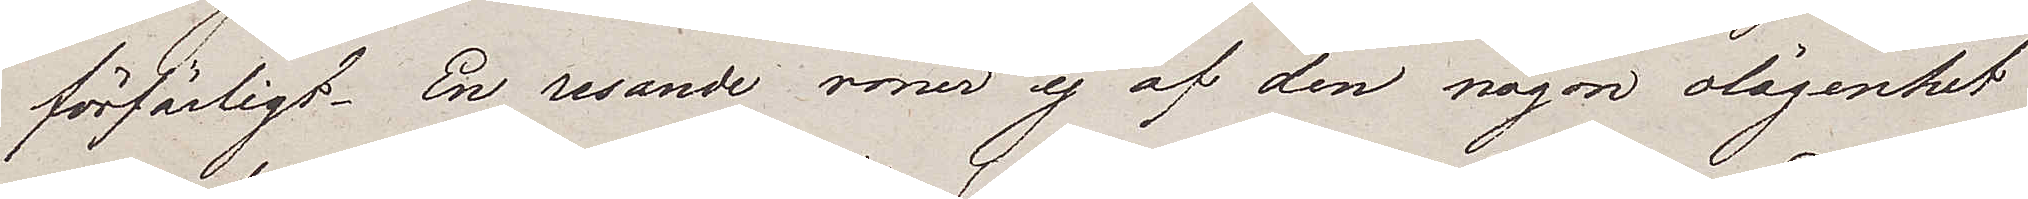förfärligt. En resande röner ej af den någon olägenhet
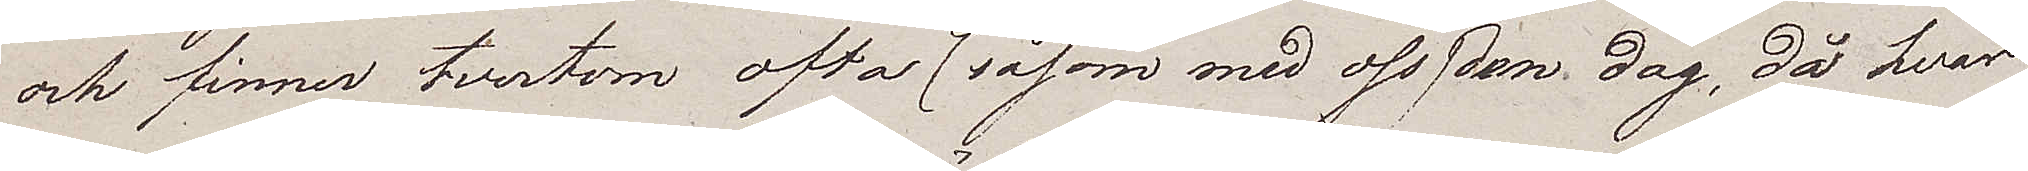och finner tvertom ofta (såsom med oss) den dag, då hvar
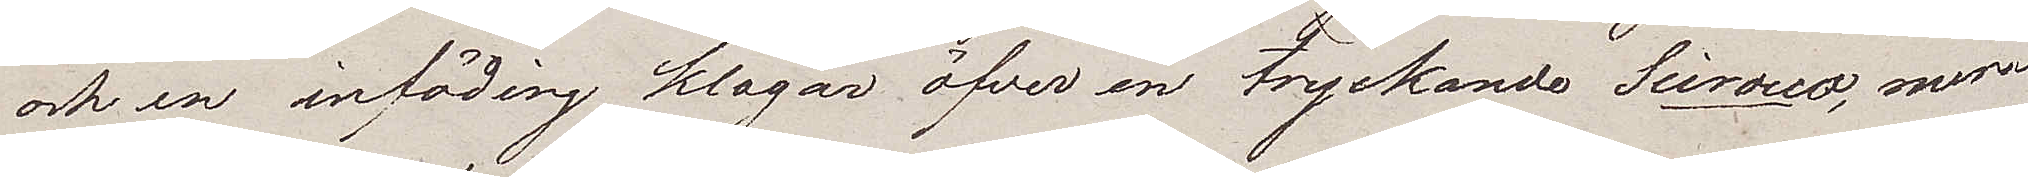och en inföding klagar öfver en tryckande Scirocco, mera
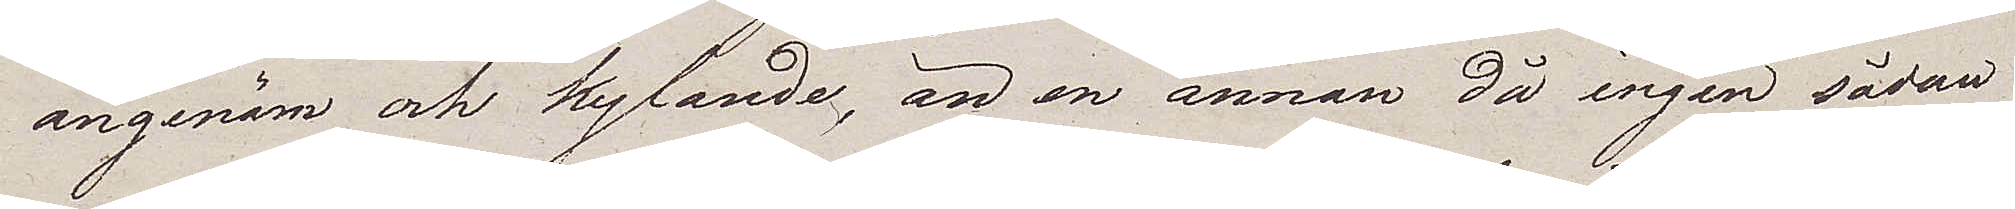angenäm och kyfande, än en annan då ingen sådan
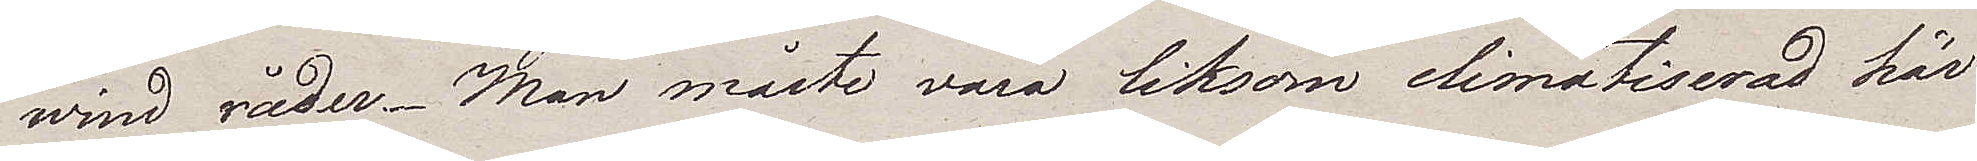wind råder. Man måste vara liksom climatiserad här
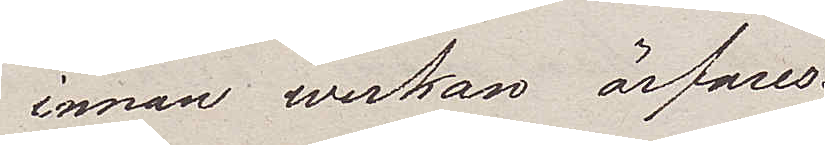innan werkan ärfares.
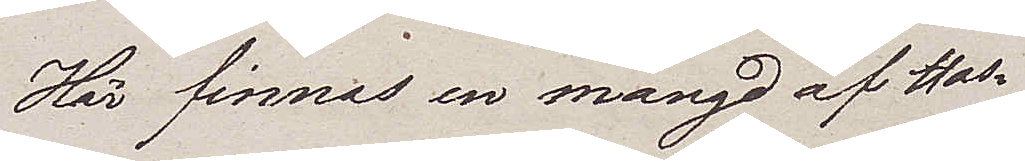Här finnas en mängd af Hos¬
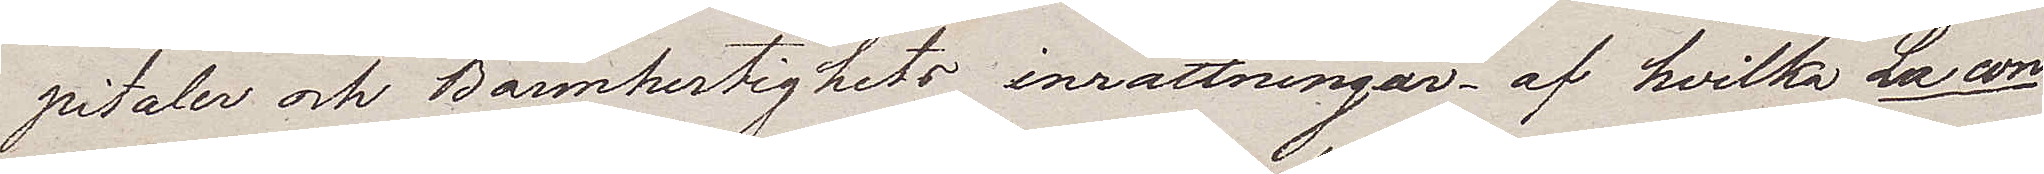pitaler och Barmhertighets inrättningar – af hvilka La con¬
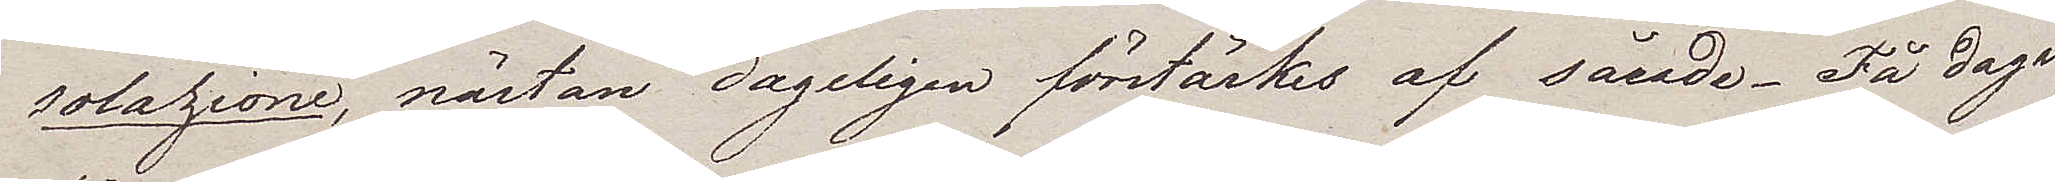solazione, nästan dageligen förstärkes af sårade. Få dagar
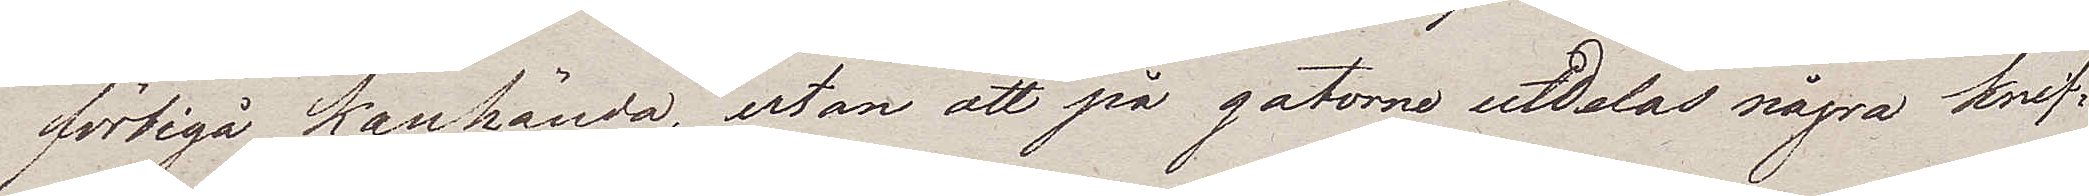förbigå kanhända, utan att på gatorne utdelas några knif¬
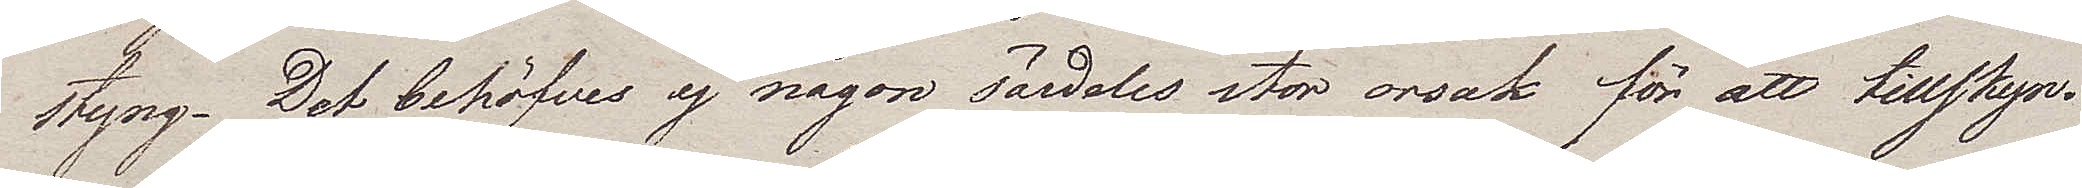styng. Det behöfves ej någon särdeles stor orsak för att tillskyn¬
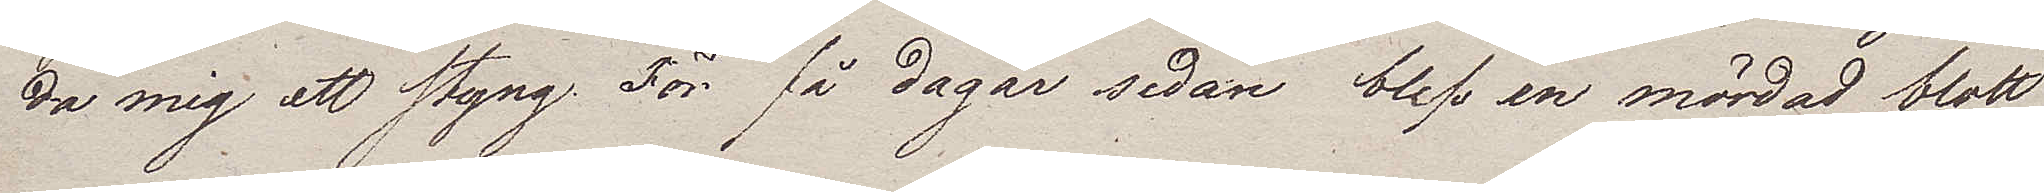da mig ett styng. För få dagar sedan blef en mördad blott
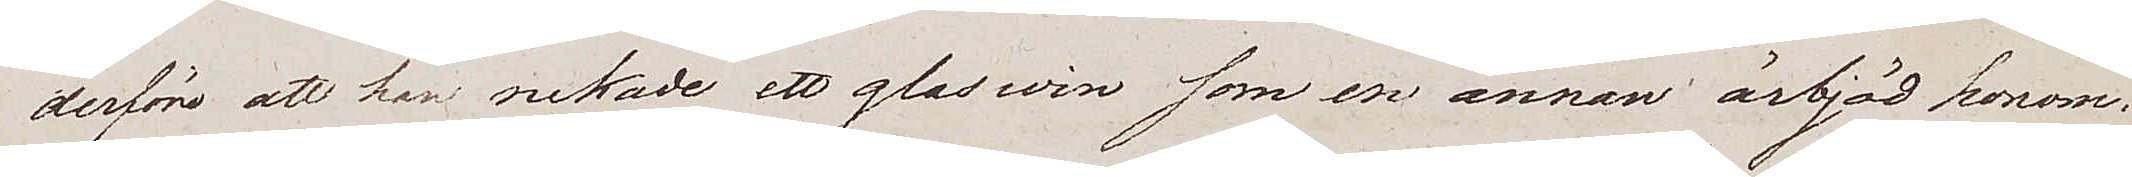derföre att han nekade ett glas win som en annan ärbjöd honom.
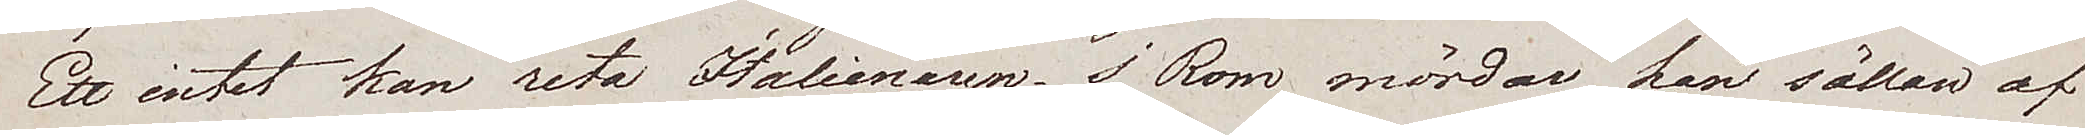Ett intet kan reta Italienaren, i Rom mördar han sällan af
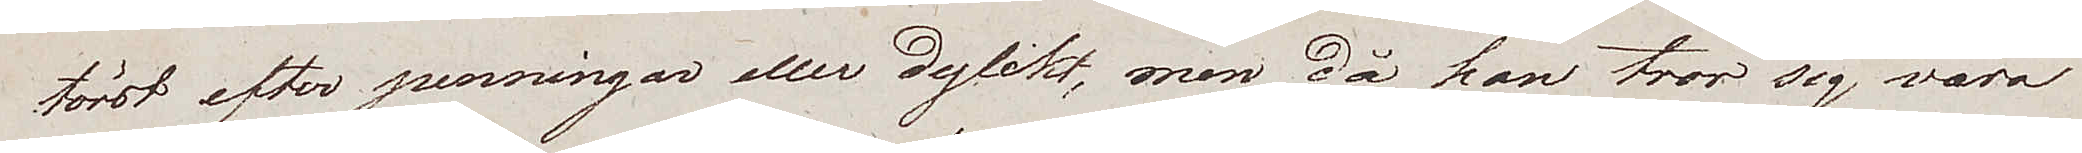törst efter penningar eller dylikt, men då han tror sig vara
